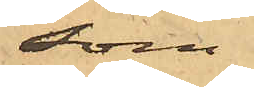som
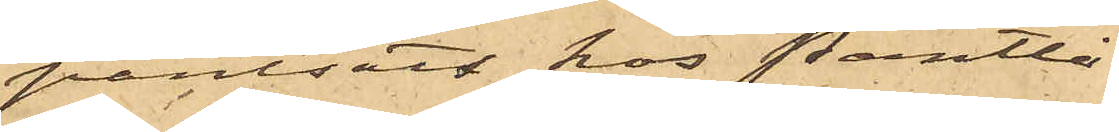pantsatt hos Pantlå¬
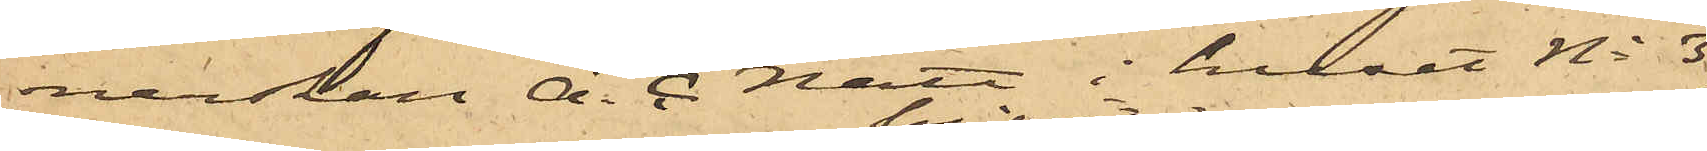nerskan A. C Nätt i huset No 3
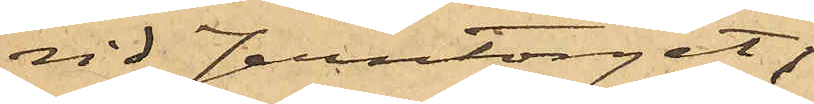vid Jerntorget,
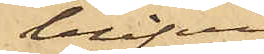blifvit
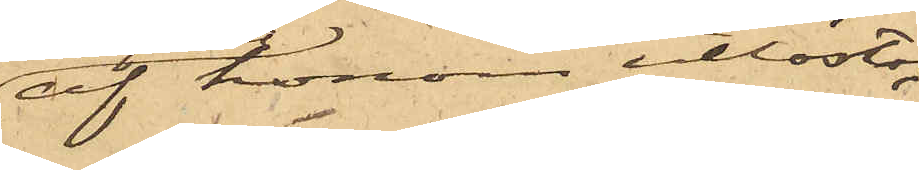af honom utlöst;
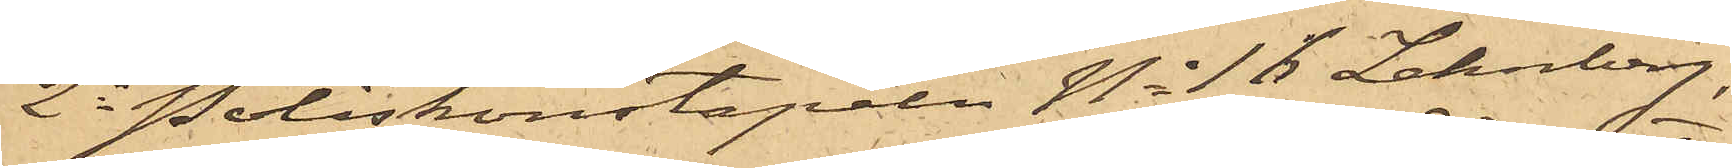2o Poliskonstapeln No 18 Lehnberg,
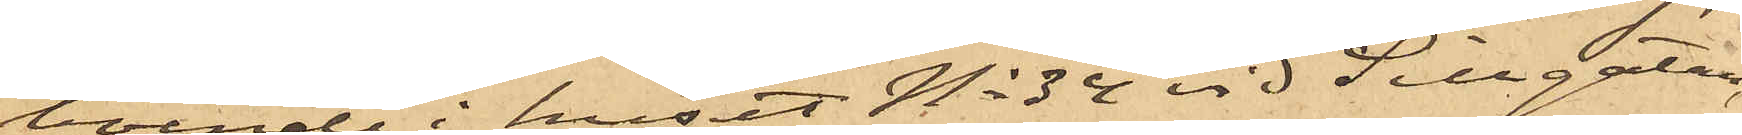boende i huset No 32 vid Sillgatan,
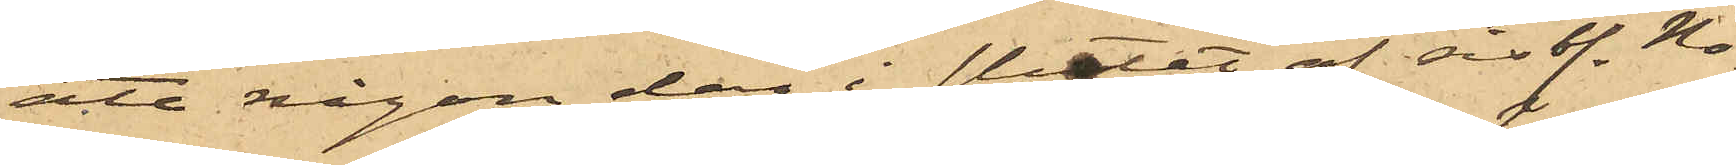att någon dag i slutet af sist. No¬
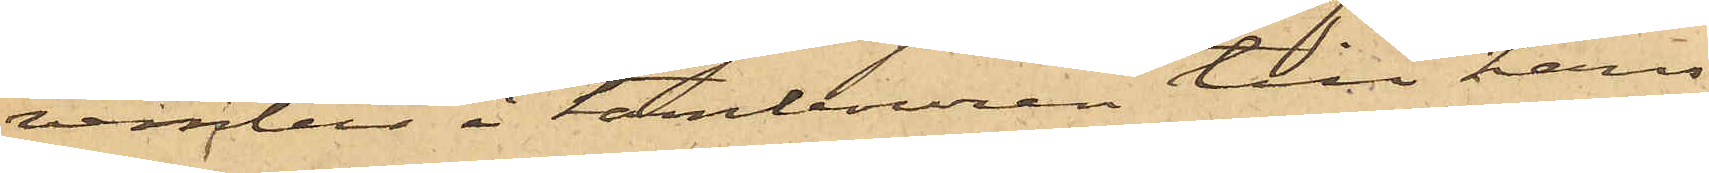vember i tambouren till hans
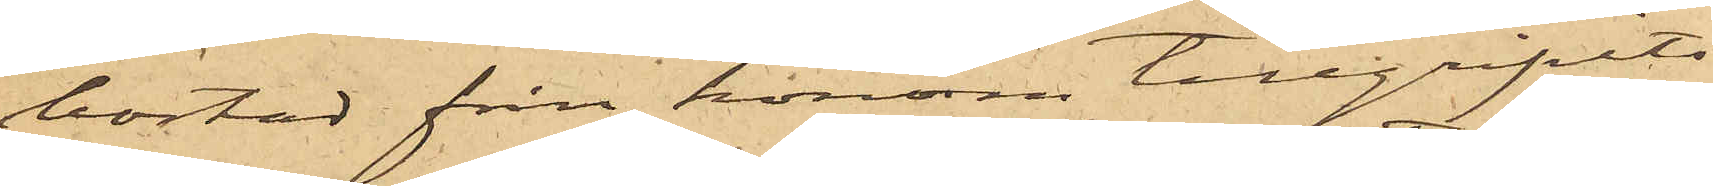bostad från honom tillgripits
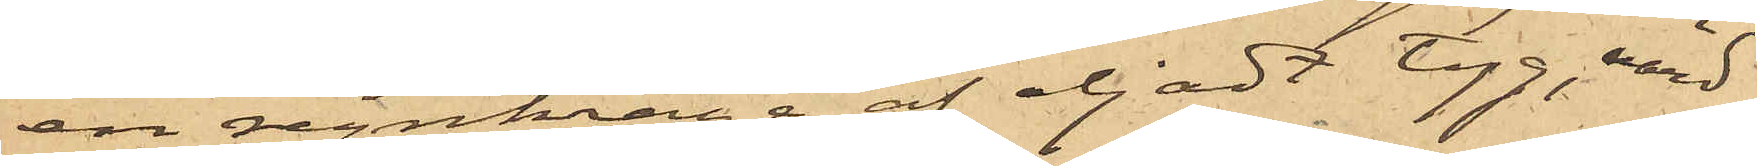en regnkrage af oljadt tyg, värd
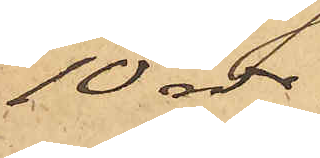10 rdr.
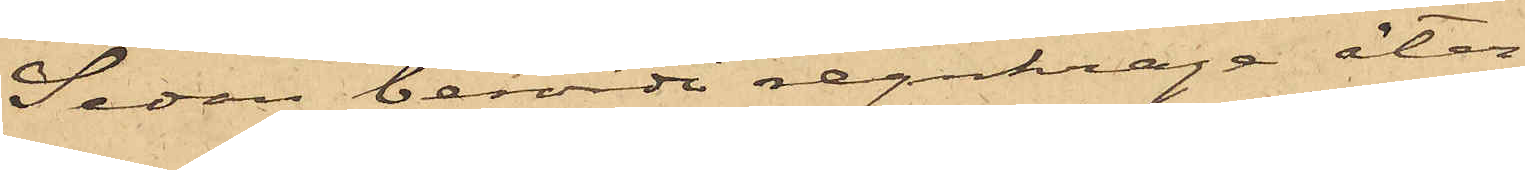Sedan berörde regnkrage åter¬
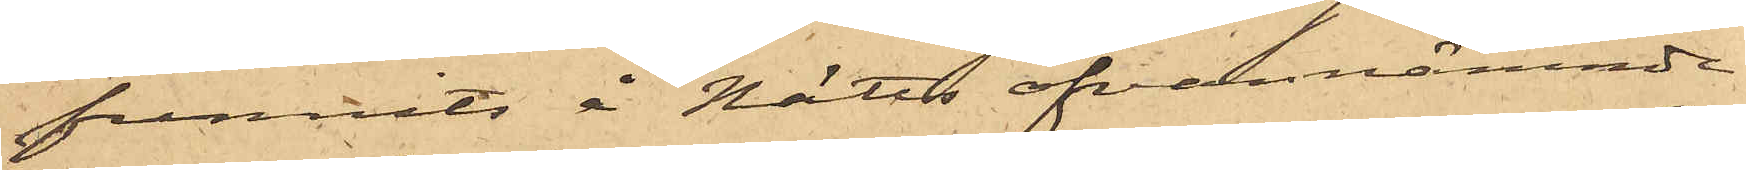funnits å Nätts ofvannämnde
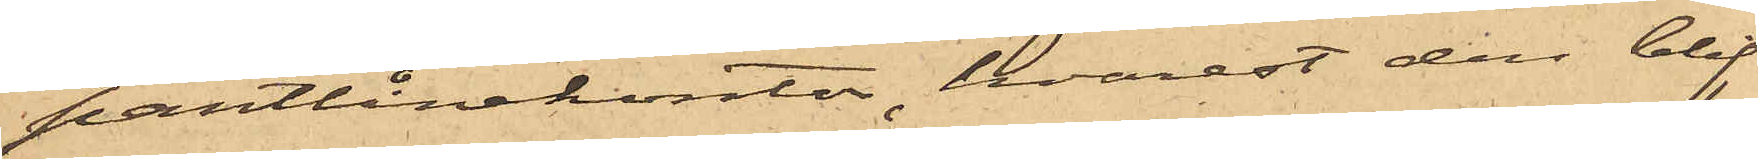pantlånekontor, hvarest den blif¬
